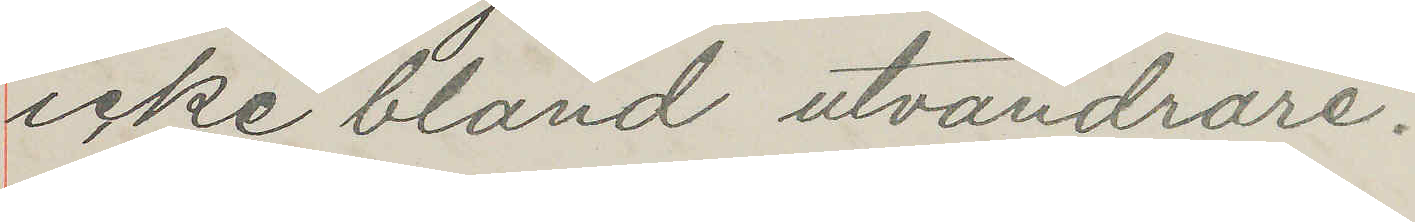icke bland utvandrare.
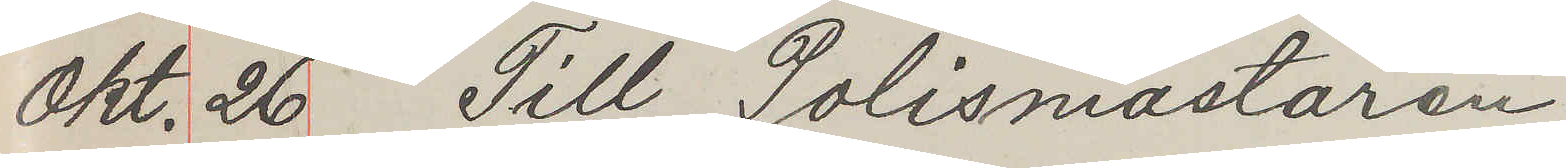Okt. 26. Till Polismästaren
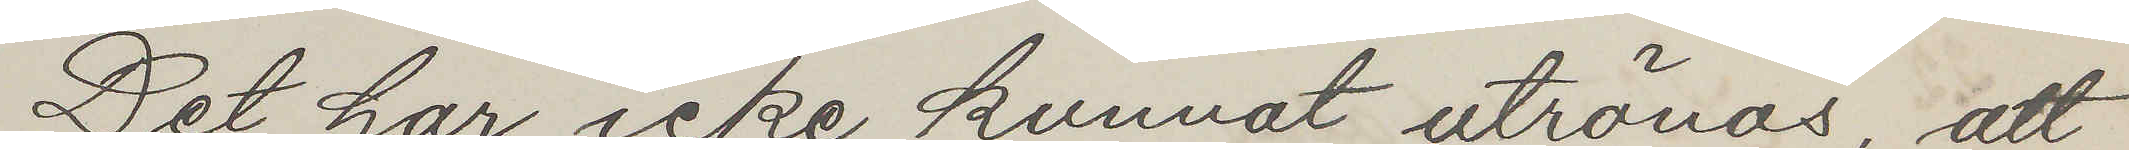Det har icke kunnat utrönas, att
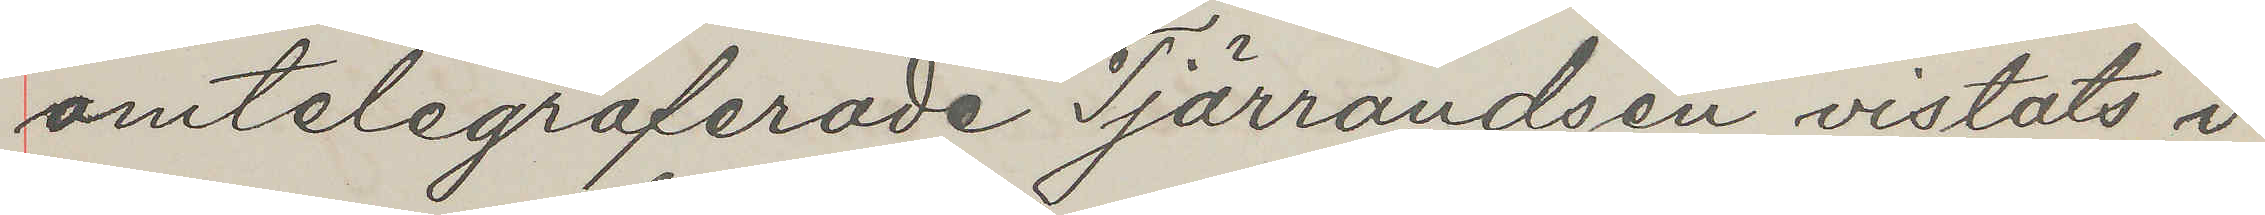omtelegralerade Tjärrandsen vistats i
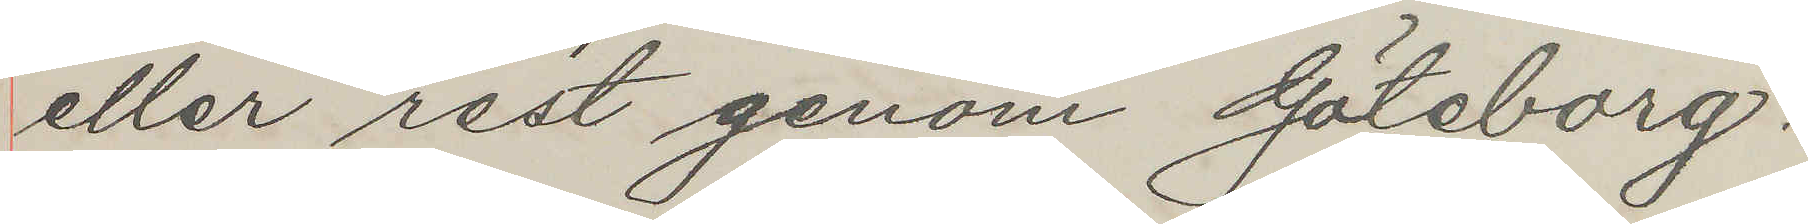eller rest genom Göteborg.
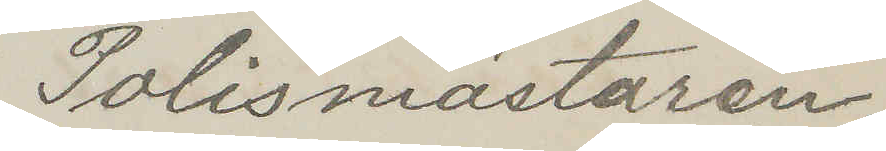Polismästaren
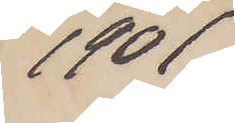1901
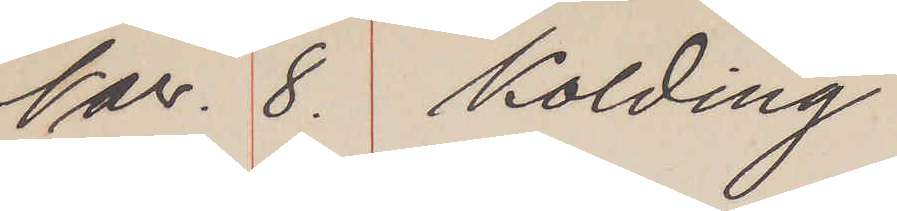Nov. 8. Kolding
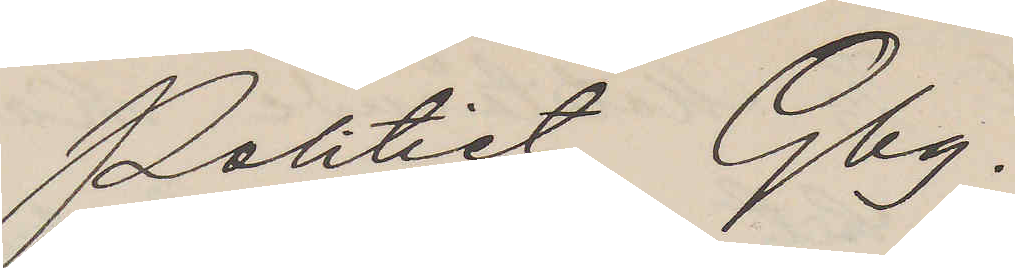Politiet Gbg.
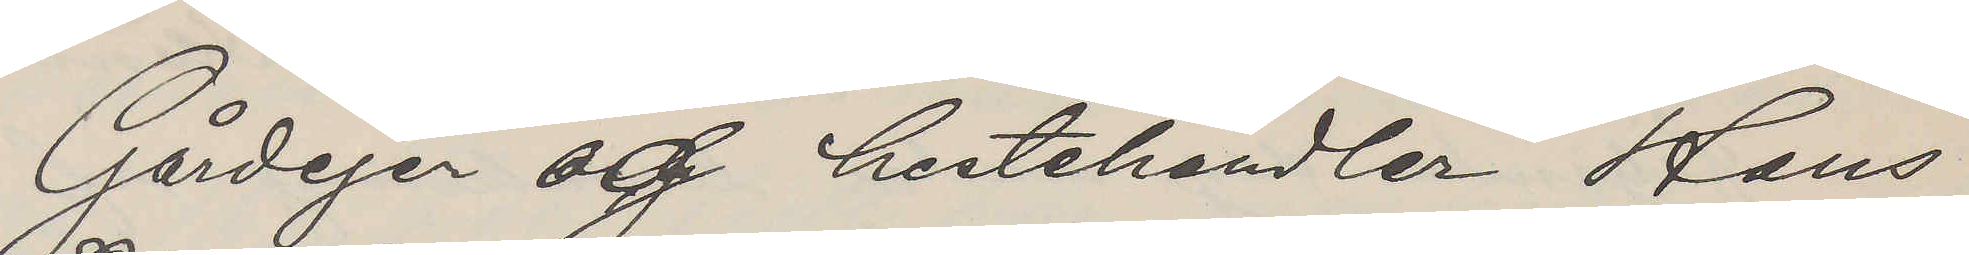Gårdejer og hestehandler Hans
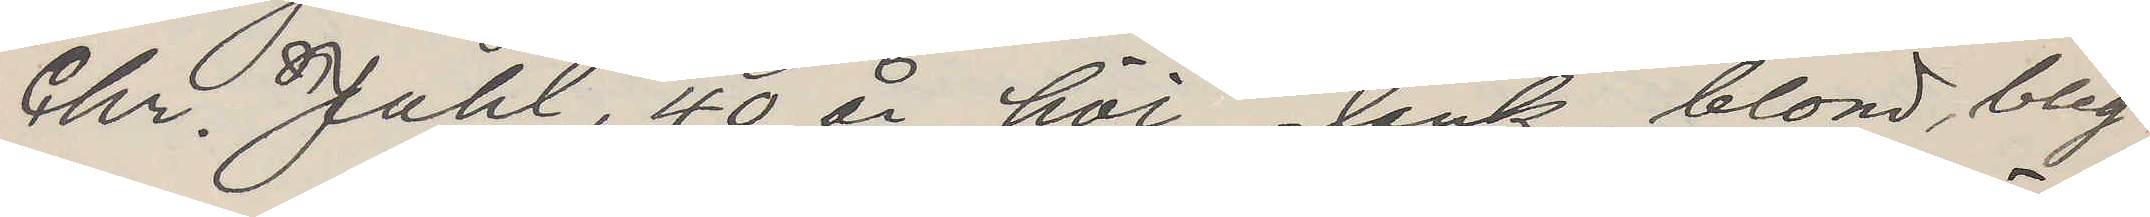Chr. Juhl, 40 år höi slank, blond, bleg
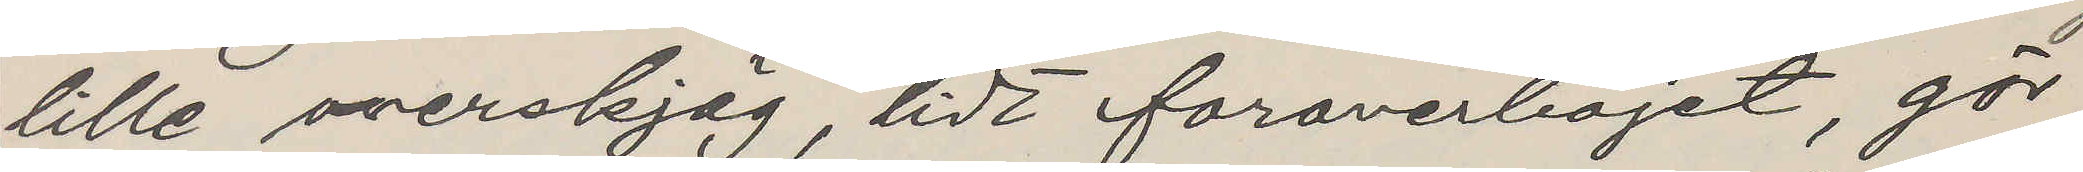lille overskjäg, lidt foraverböjet, gör
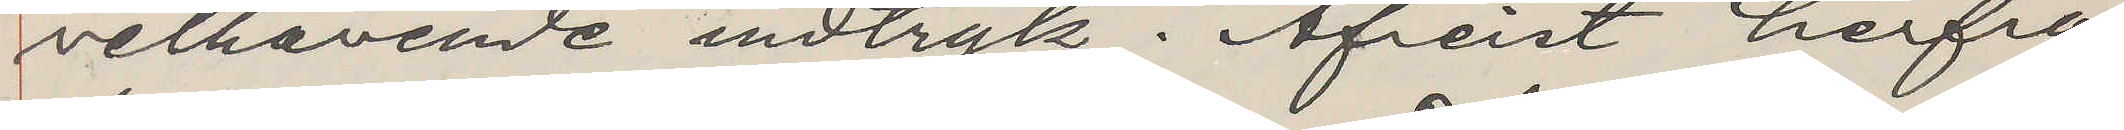velhavende indtryk. Afreist herfra
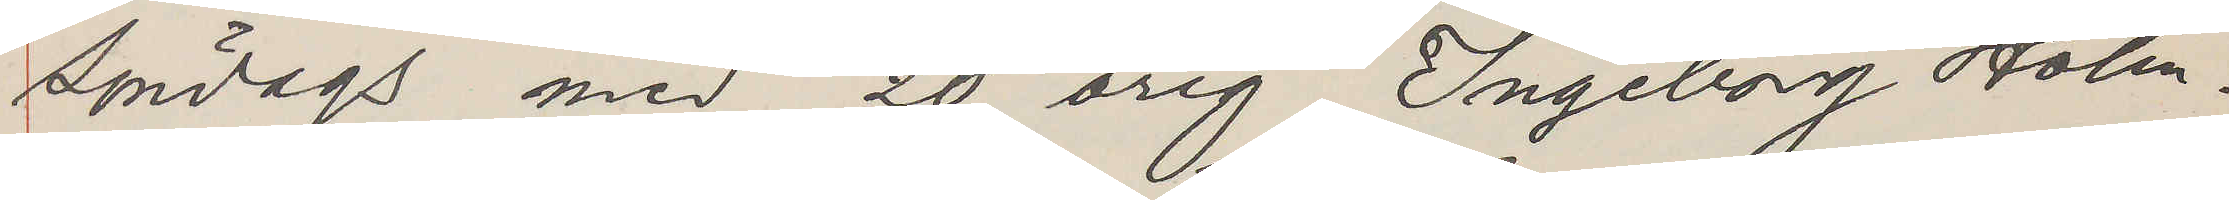Söndags med 20 årig Ingeborg Holm.
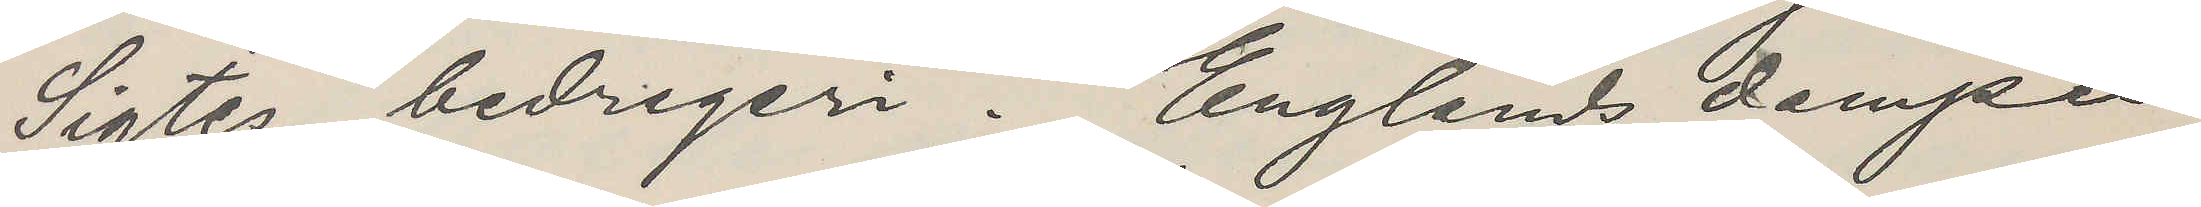Sigtes bedregeri. Englands damper
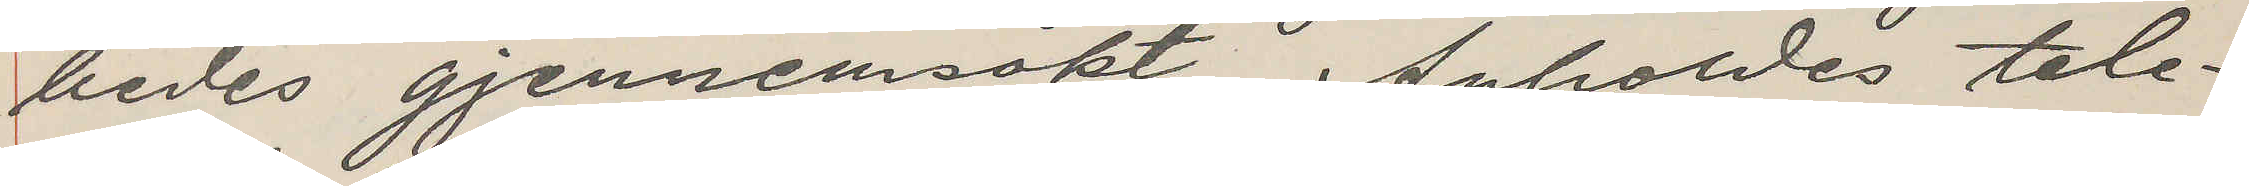bedes gjennemsökt. Anholdes tele¬
